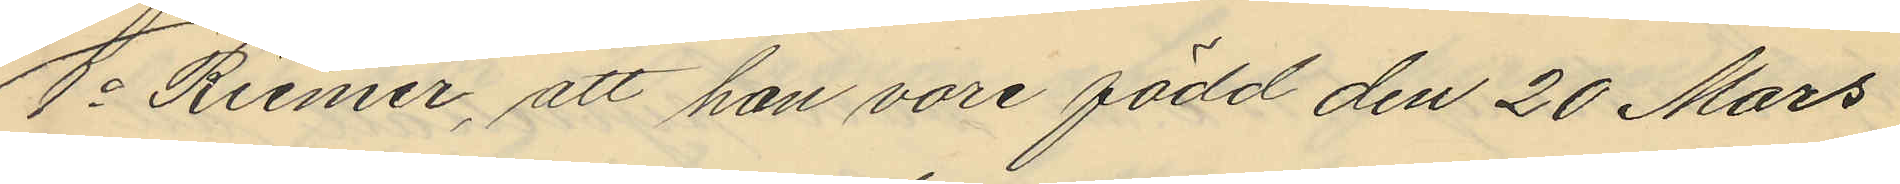1o Riemer, att han vore född den 20 Mars
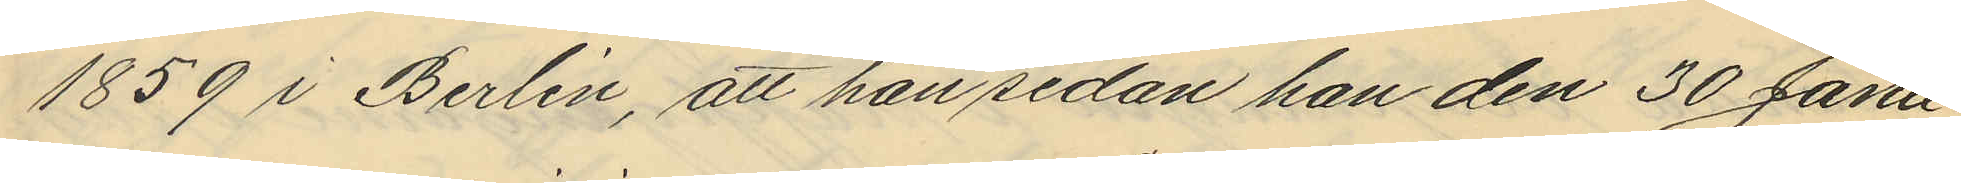1859 i Berlin, att han sedan han den 30 Janu¬
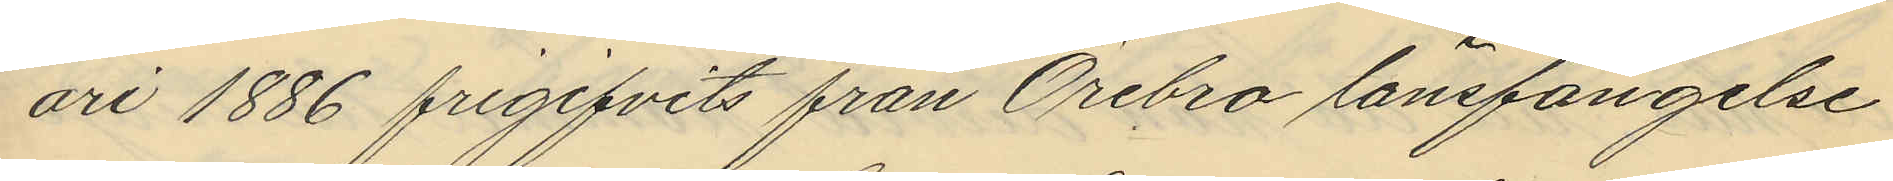ari 1886 frigifvits från Örebro länsfängelse
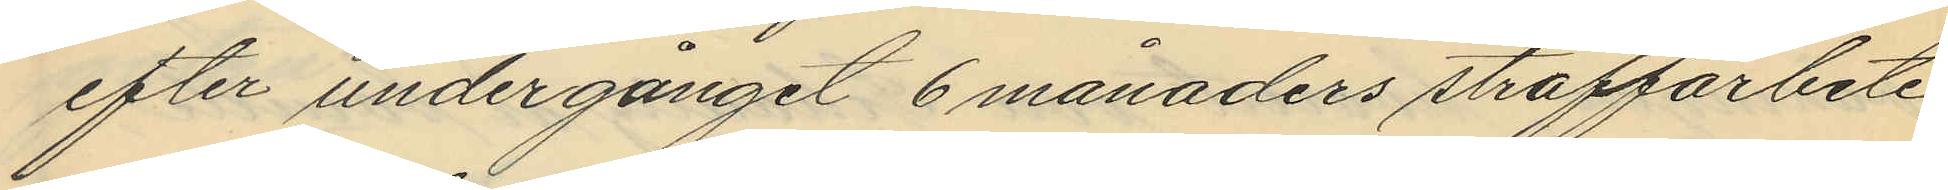efter undergånget 6 månaders straffarbete
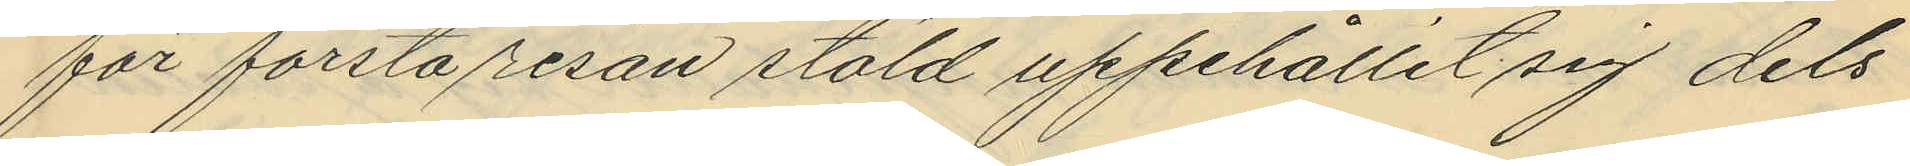för första resan stöld uppehållit sig dels
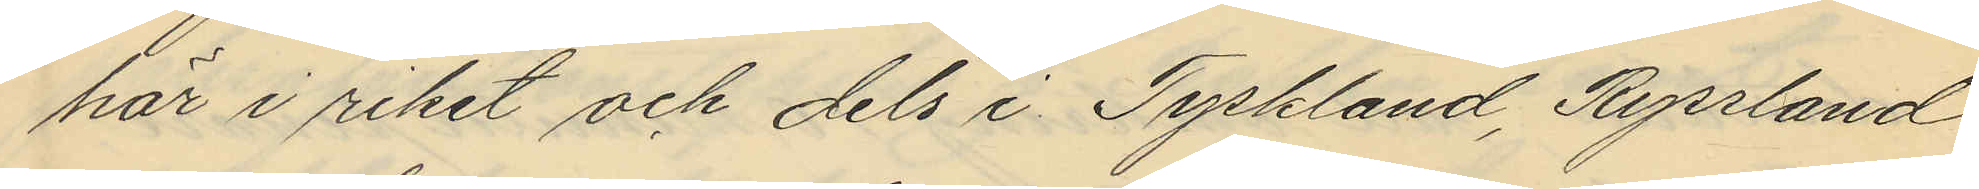här i riket och dels i Tyskland, Ryssland
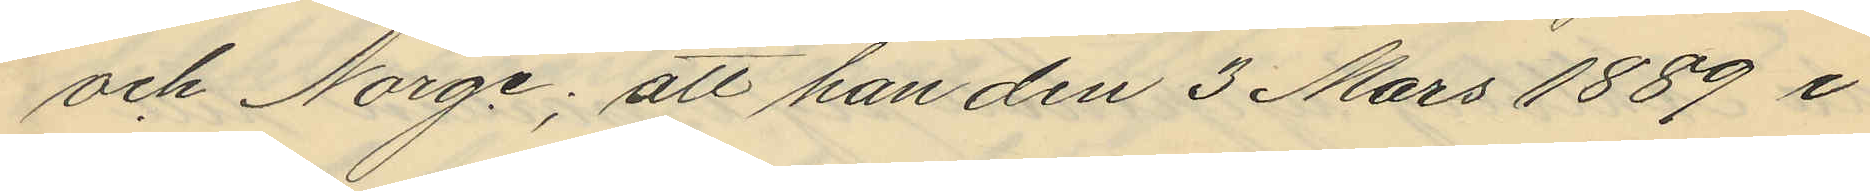och Norge; att han den 3 Mars 1889 i
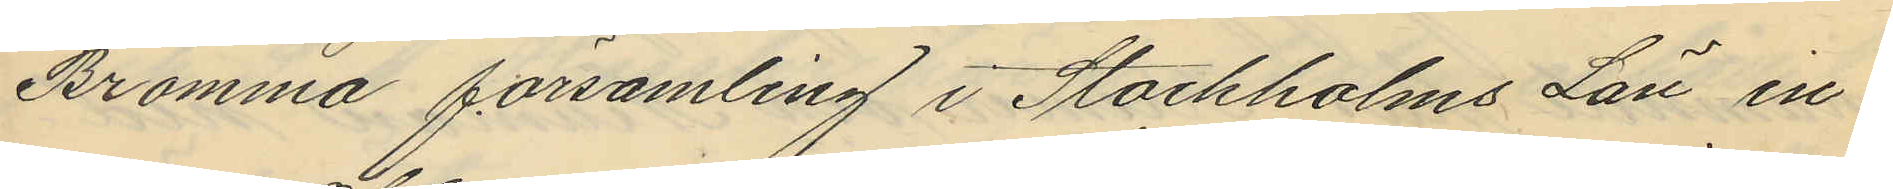Bromma församling i Stockholms Län in¬
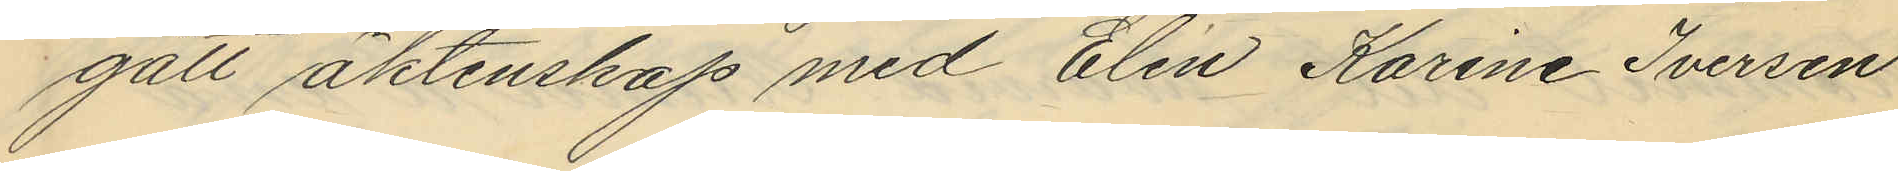gått äktenskap med Elin Karine Iversen
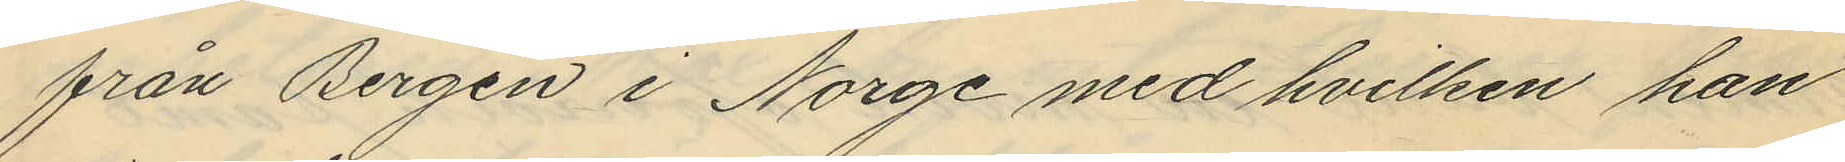från Bergen i Norge med hvilken han
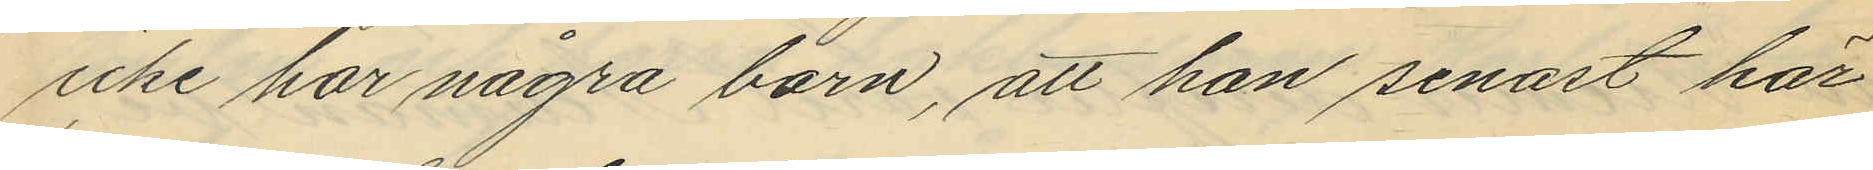icke har några barn, att han senast här
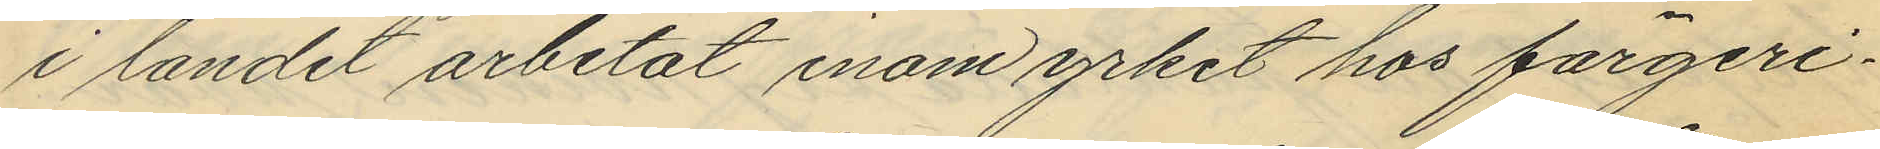i landet arbetat inom yrket hos färgeri¬
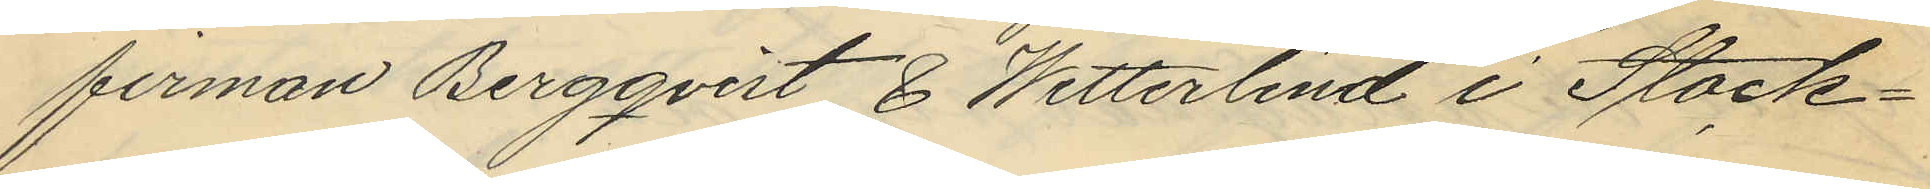firman Bergqvist & Wetterlind i Stock¬
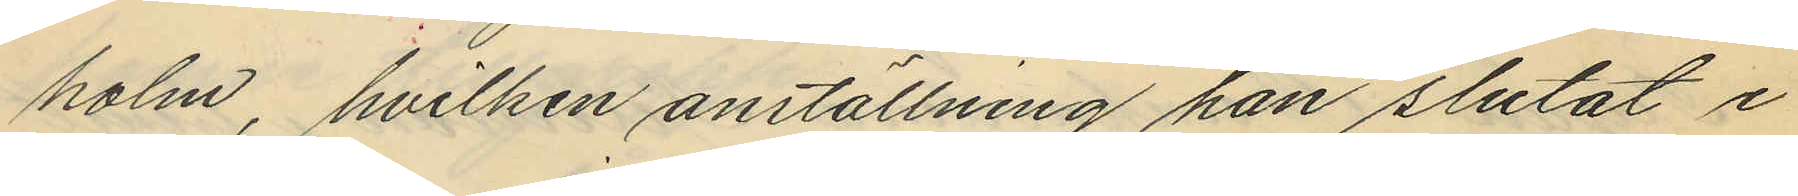holm, hvilken anställning han slutat i
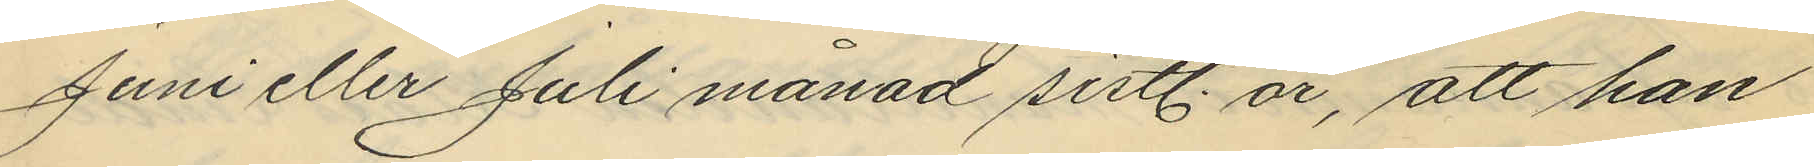Juni eller Juli månad sistl. år, att han
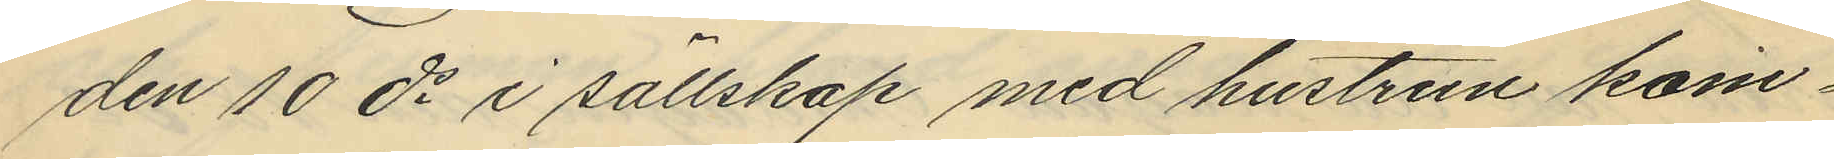den 10 ds i sällskap med hustrun kom¬
